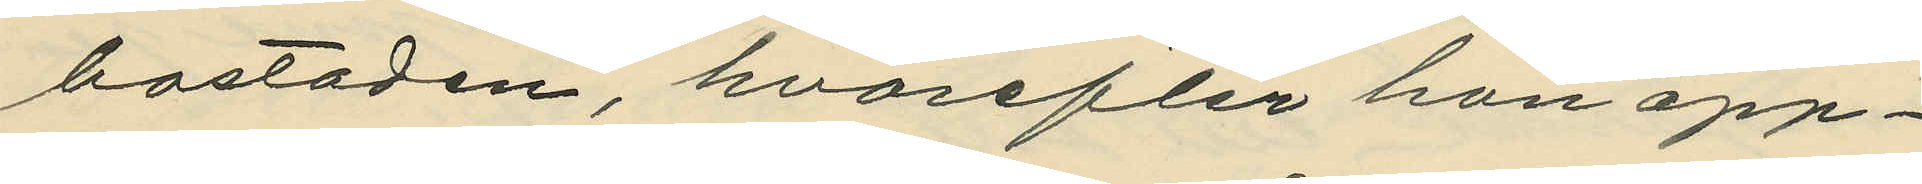bostaden, hvarefter hon öpp¬
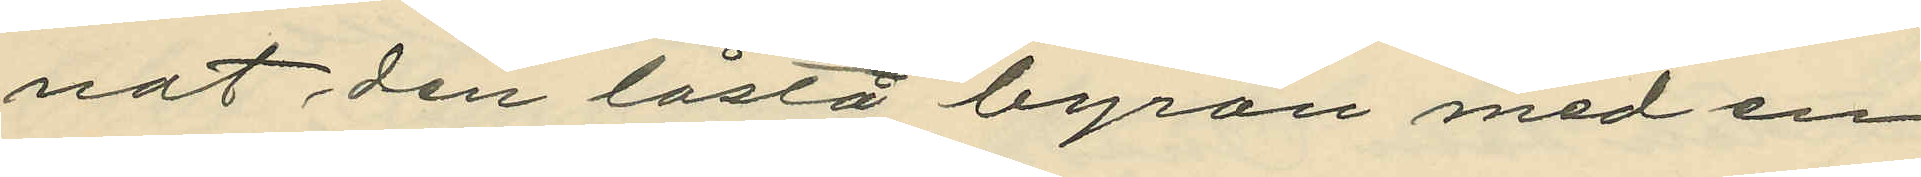nat den låsta byrån med en
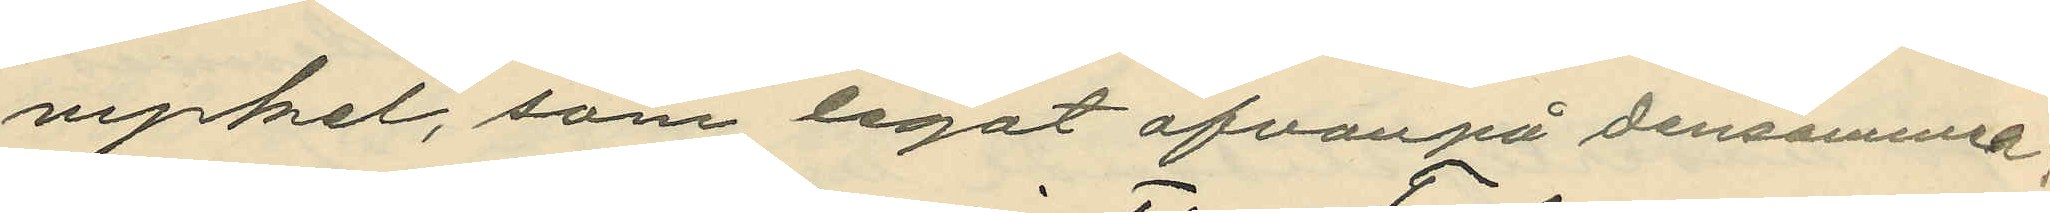nyckel, som legat ofvanpå densamma;
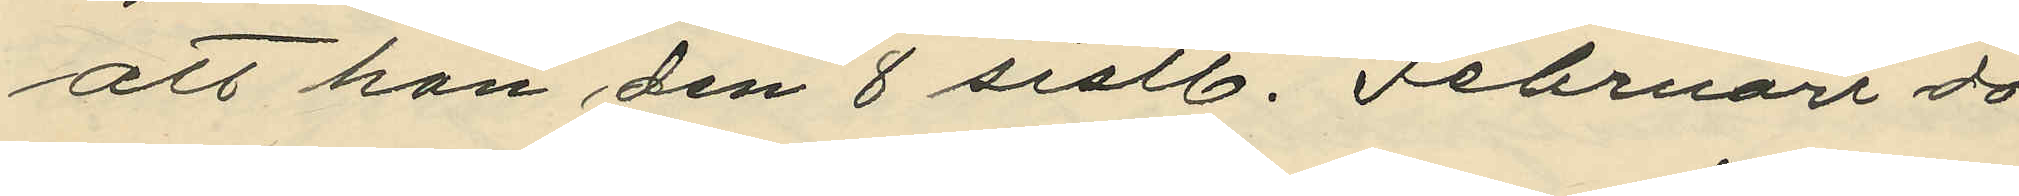att hon den 8 sistl. Februari då
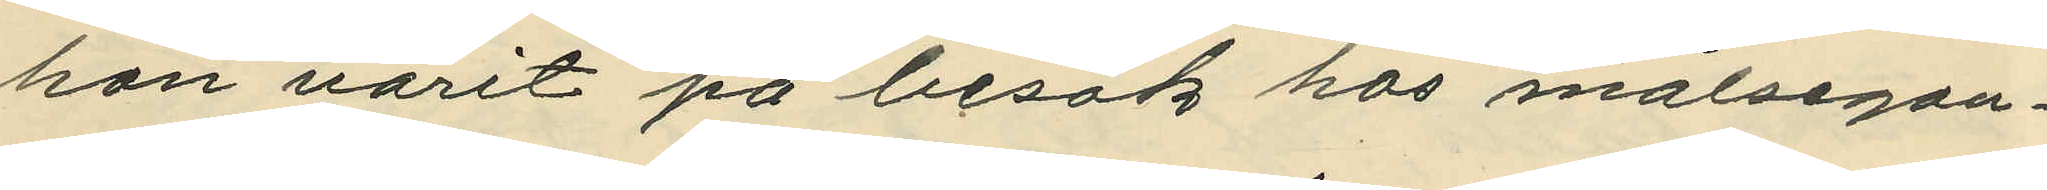hon varit på besök hos målsegan¬
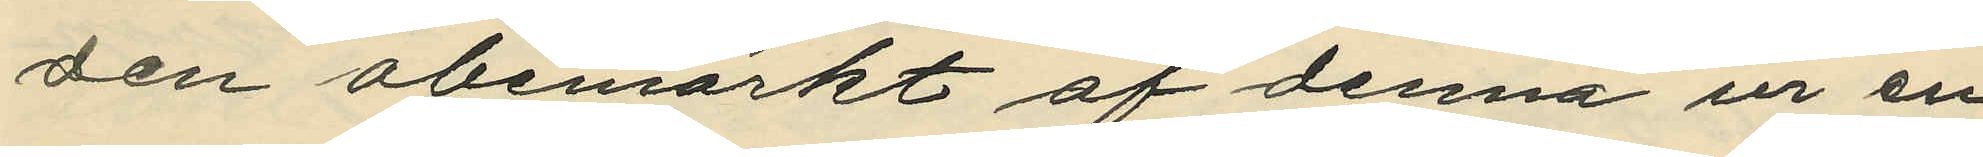den obemärkt af denna ur en
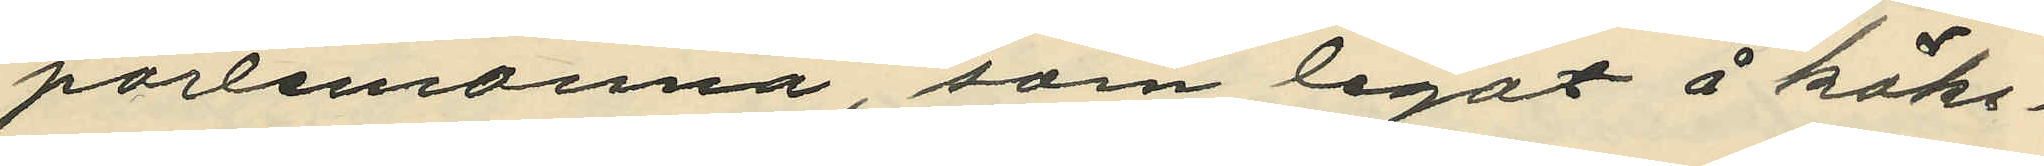portemonnä, som legat å köks¬
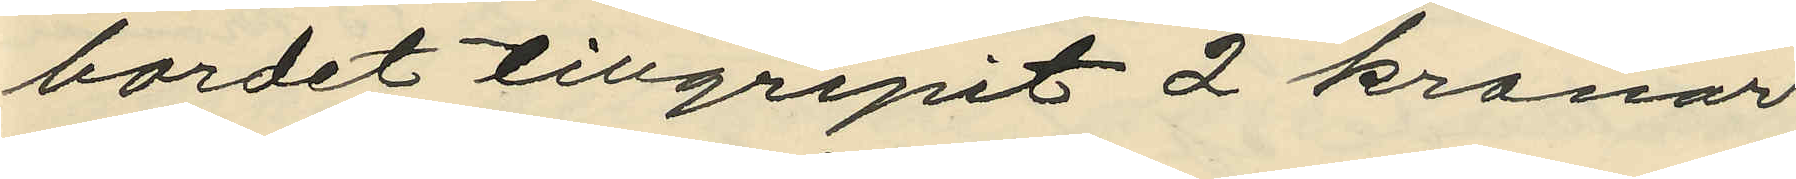bordet tillgripit 2 kronor
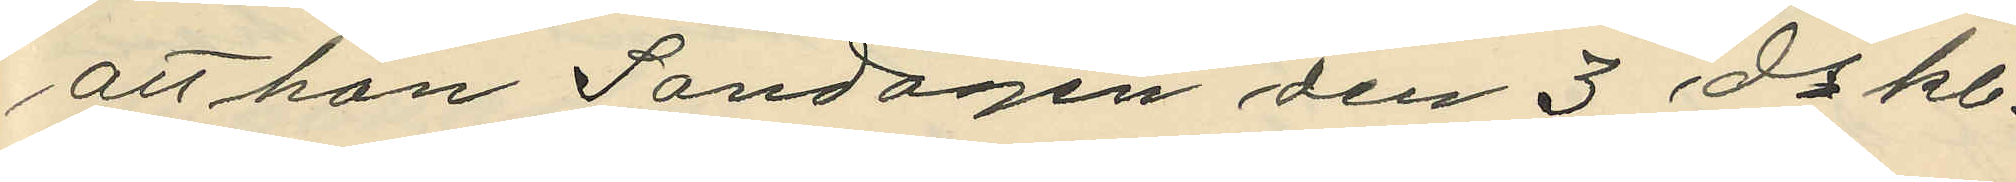att hon Sondagen den 3 ds kl.
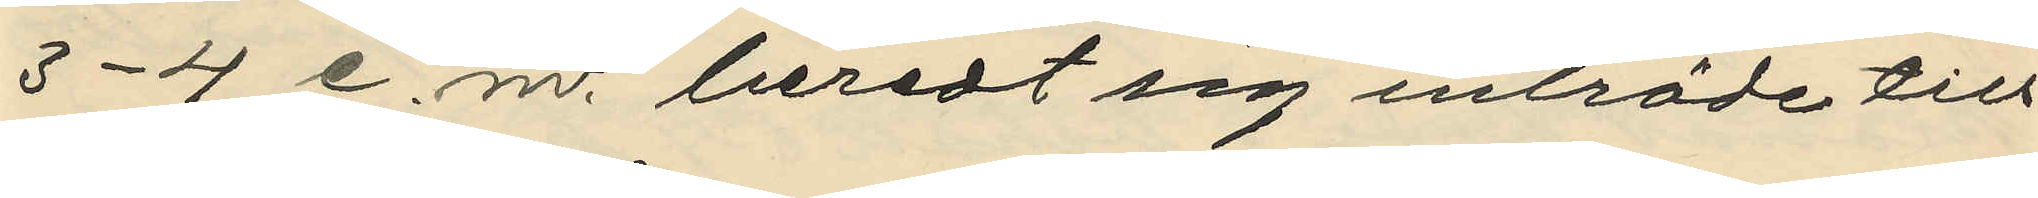3-4 e. m. beredt sig inträde till
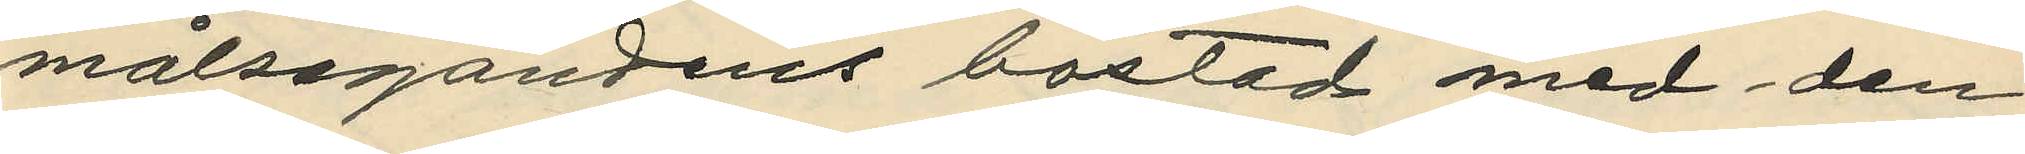målsegandens bostad med den
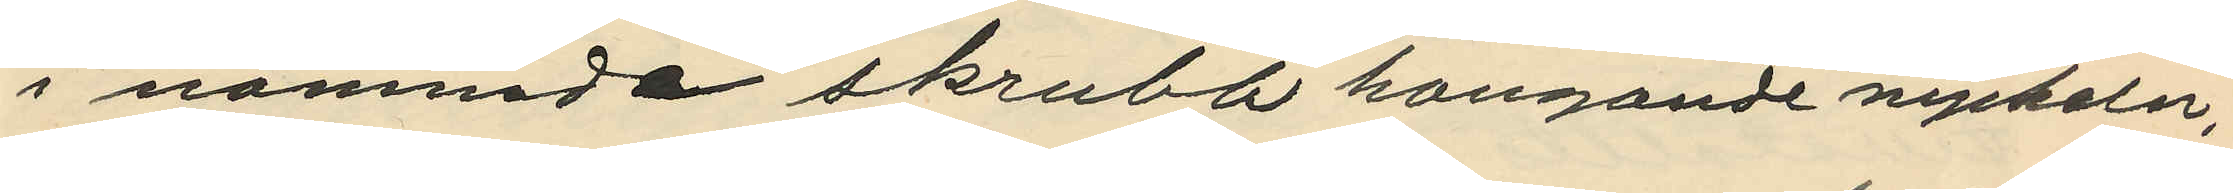i nammde skrubb hangande nyckeln;
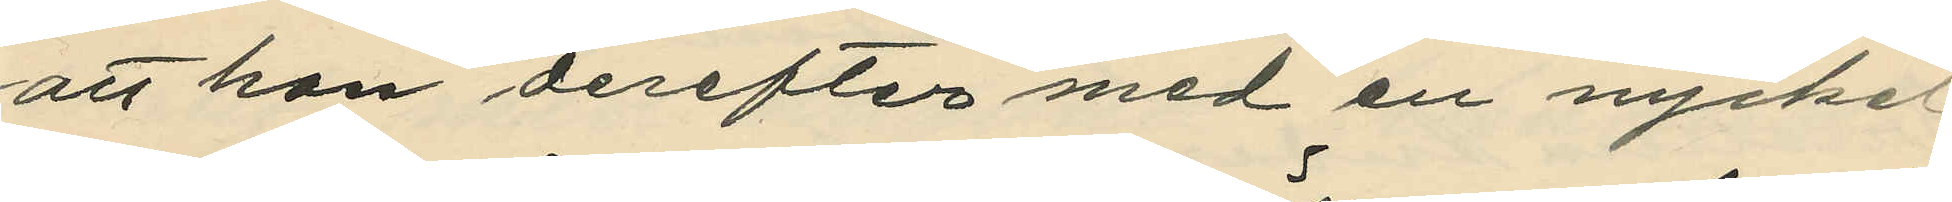att hon derefter med en nyckel
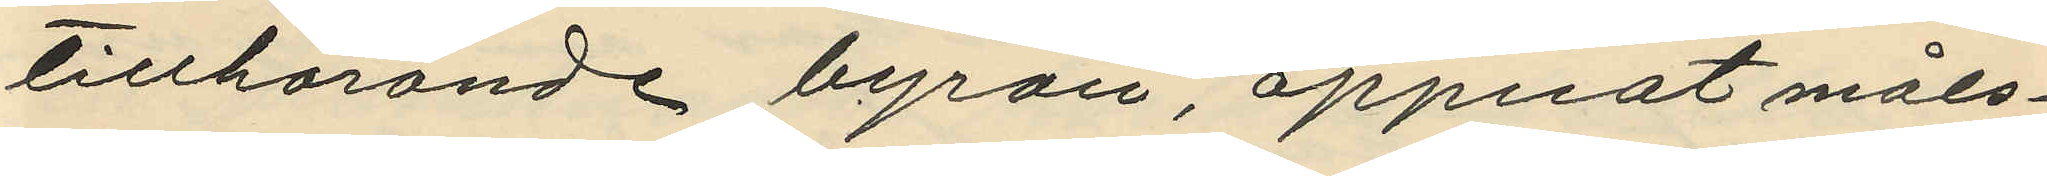tillhörande byrån, öppnat måls¬
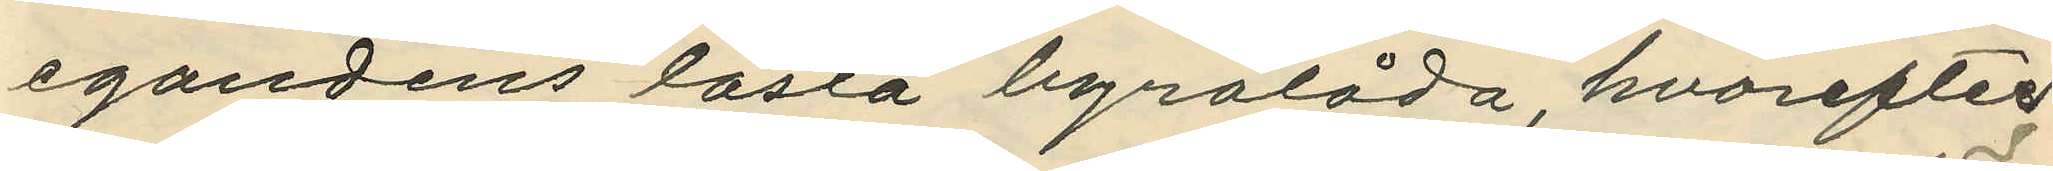egandens låsta byrålåda, hvarefter
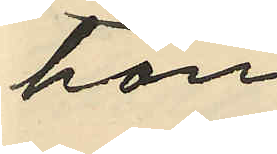hon
